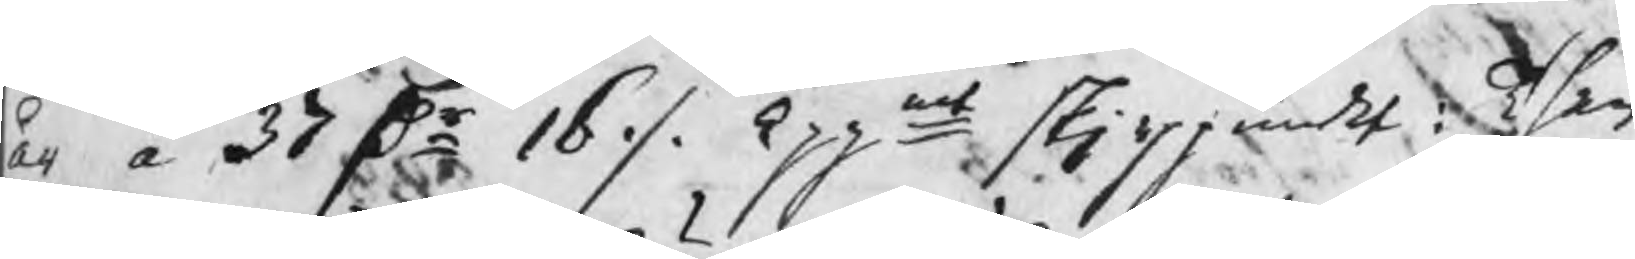år à 37 Dr 16 ./. kppmt skjeppundet: Then
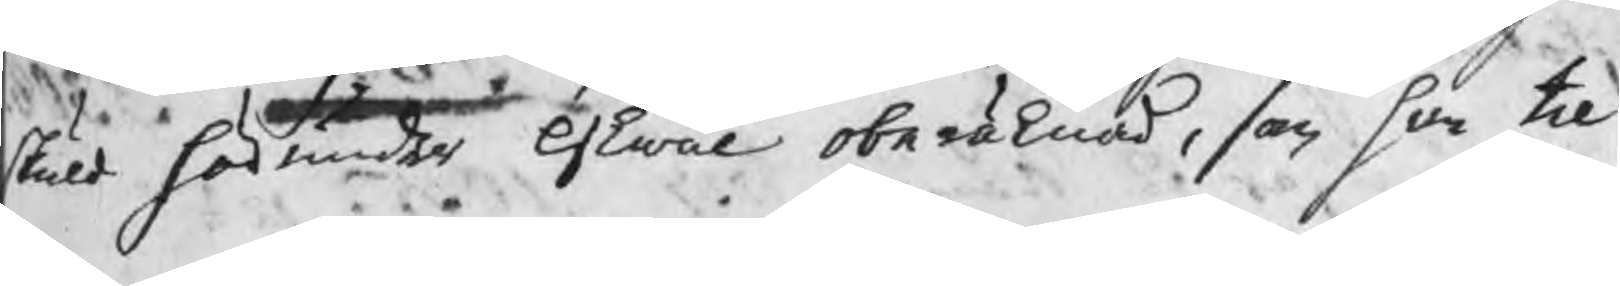skuld härunder likwäl oberäknad, som han til
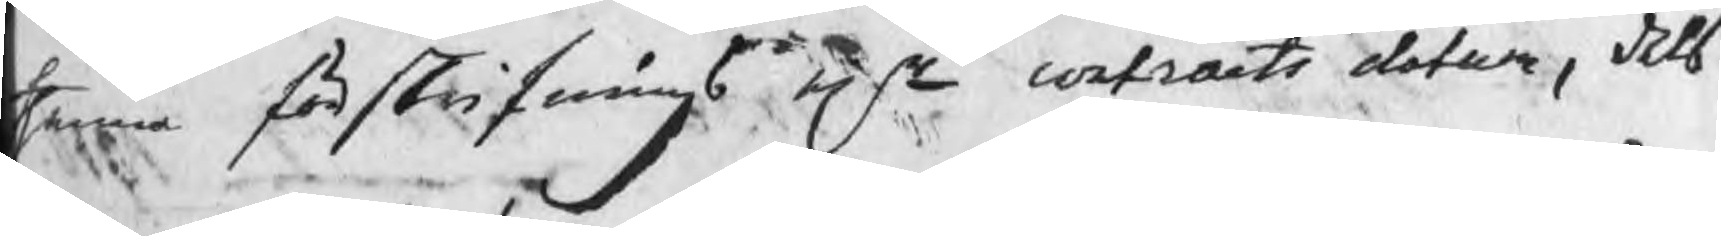thenna förskrifnings efter contracts datum, dels
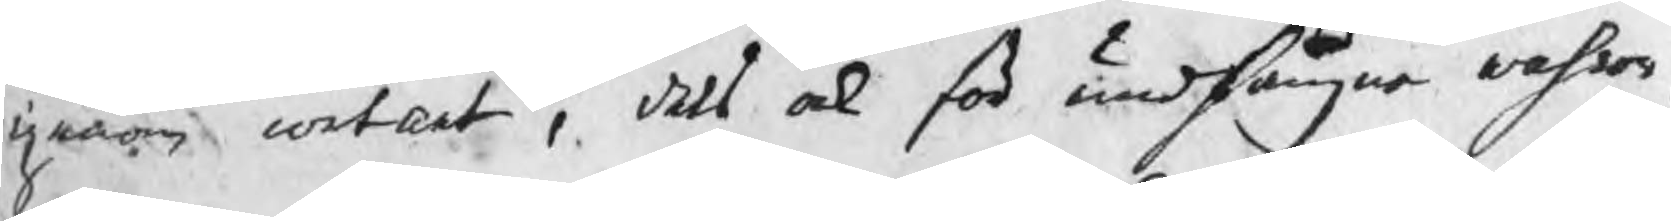gnom contant, dels ock för undfångne wahror,
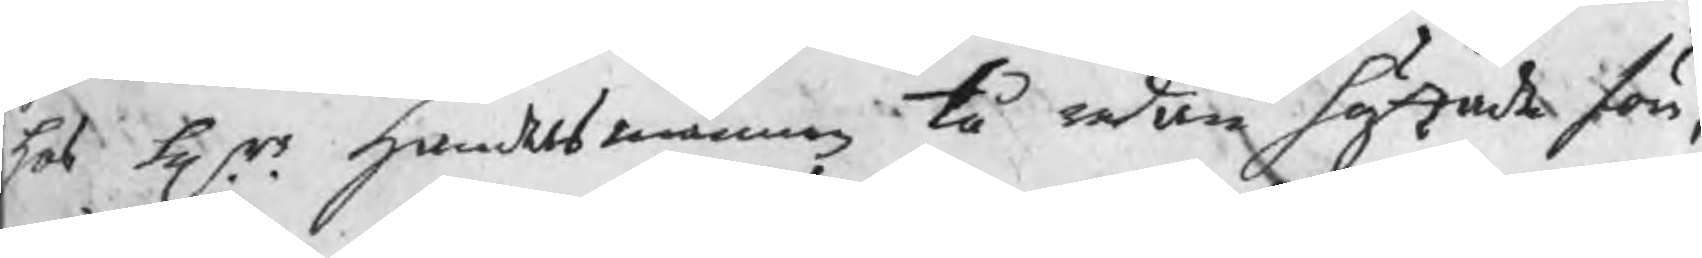hos Hrr handelsmännen tå redan häftade för,
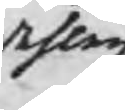dehlen
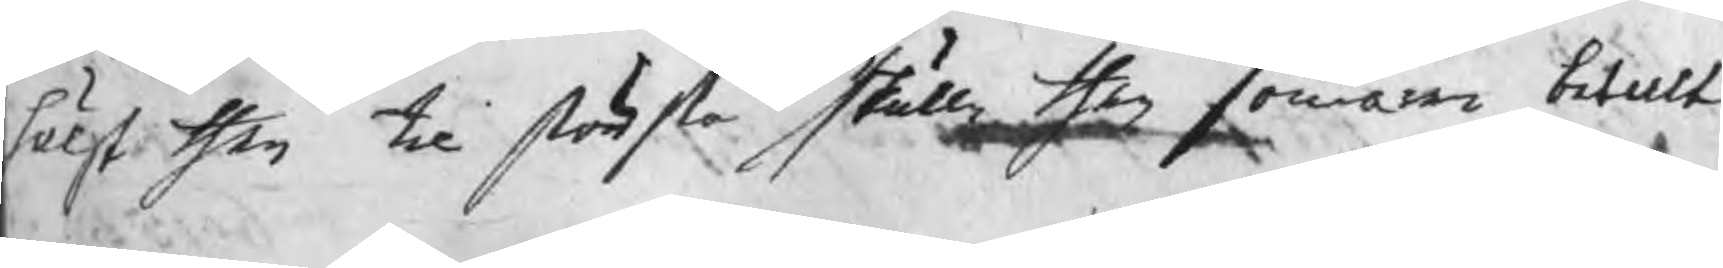hälst then til största skulle then sommaren betalt
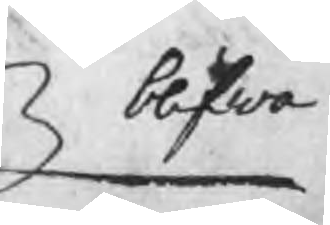blifwa
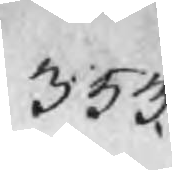353.
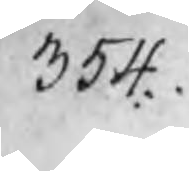354
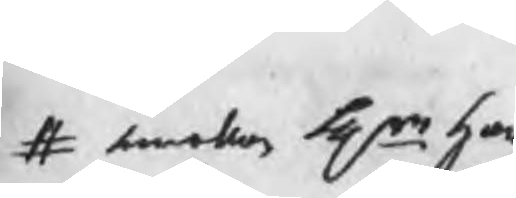# emellan Hrr han¬
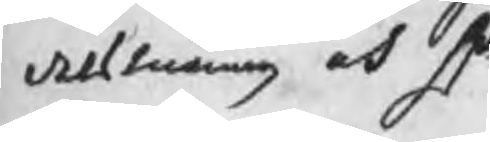delsmännen och Hr
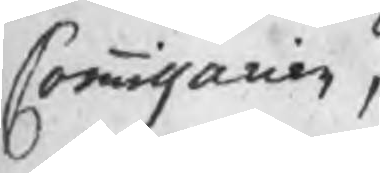Commissarien,
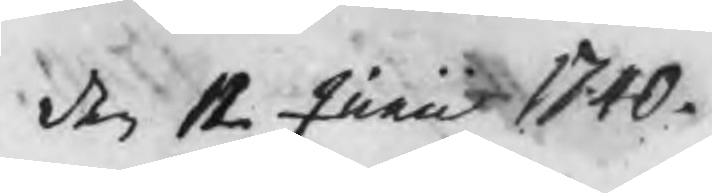den 12 Junii 1740
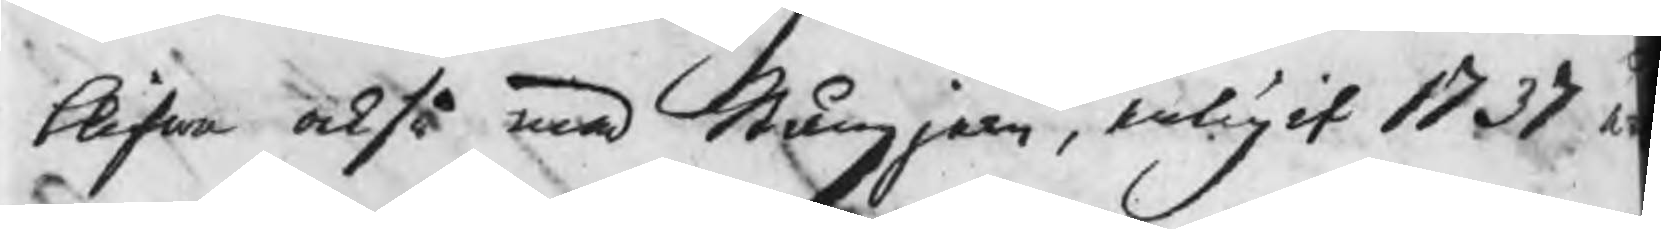blifwa också med Stångjern, enligit 1737 å
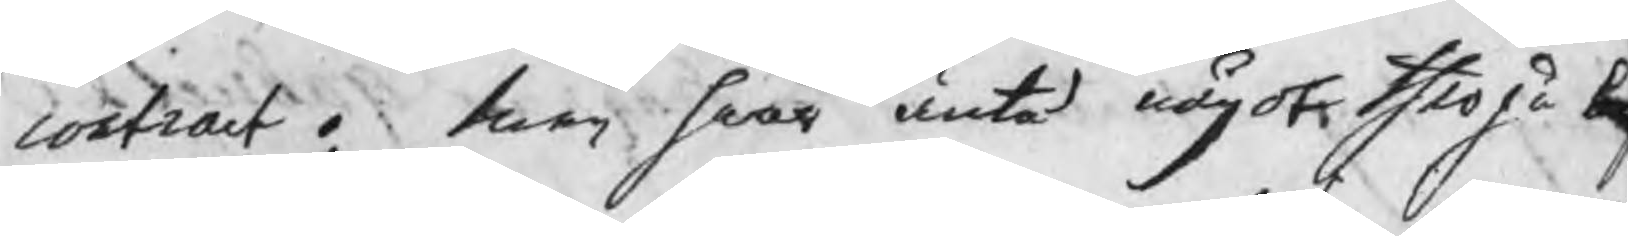contract. Men hwar äntå något therpå b
